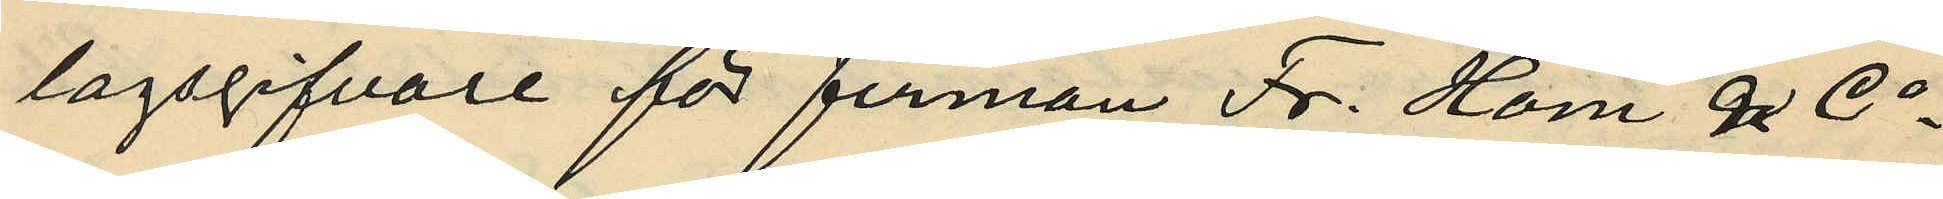lagsgifvare för firman Fr. Holm & Co
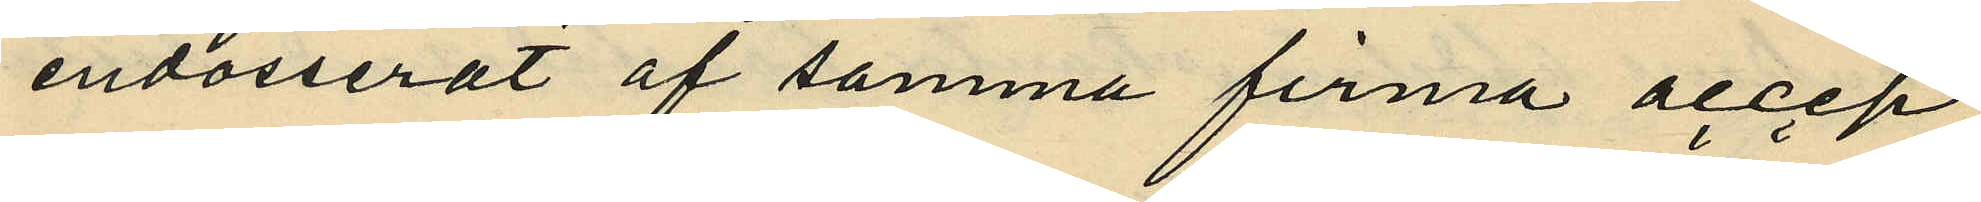endosserat af samma firma accep¬
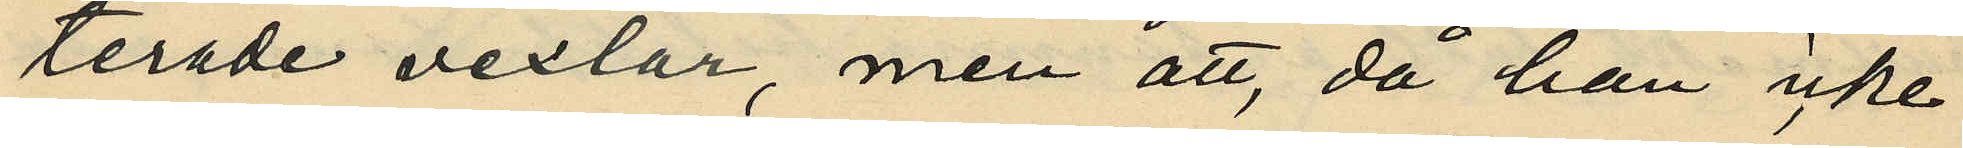terade vexlar, men att, då han icke
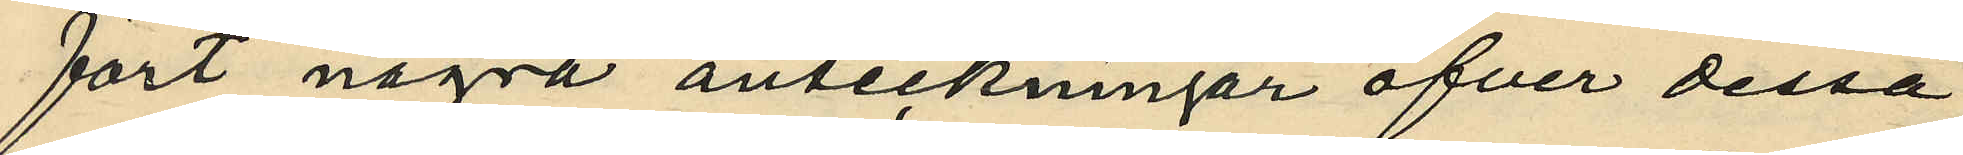fört några anteckningar öfver dessa
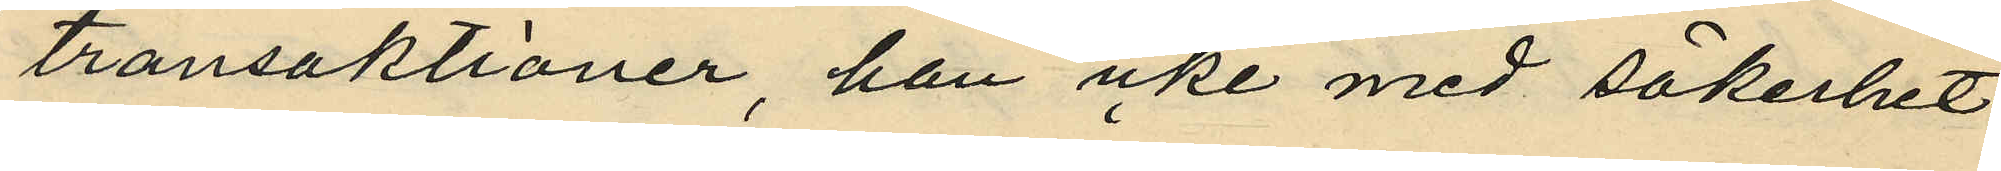transaktioner, han icke med säkerhet
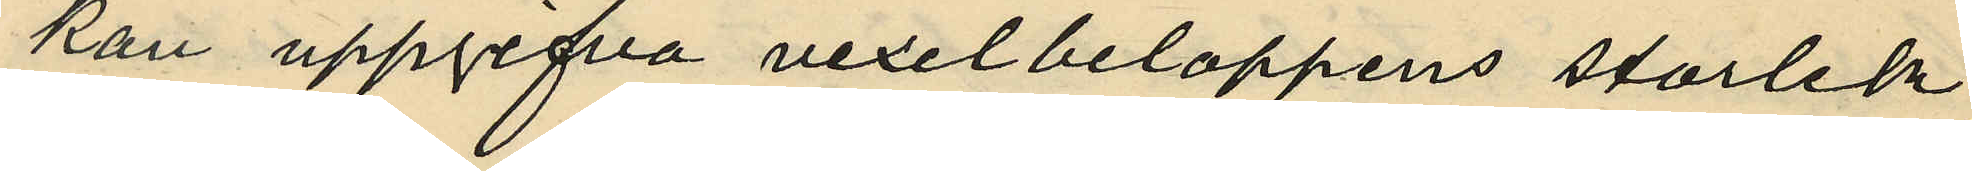kan uppgifva vexelbeloppens storlek,
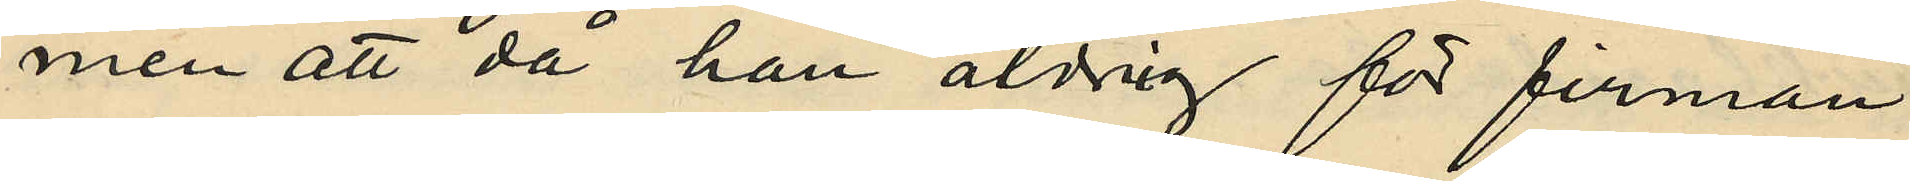men att då han aldrig för firman
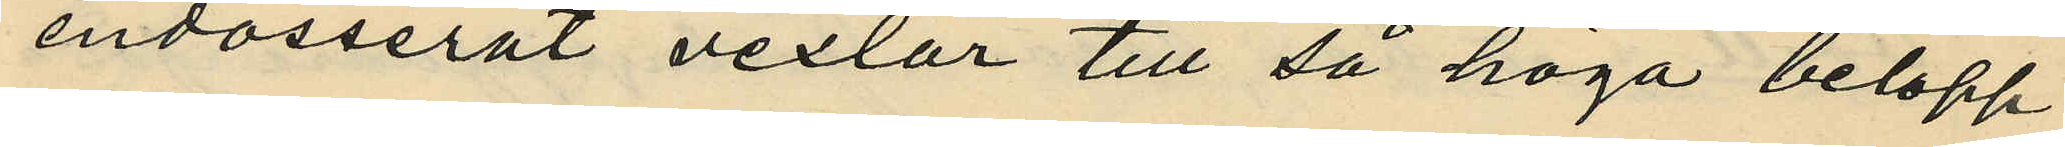endosserat vexlar till så höga belopp,
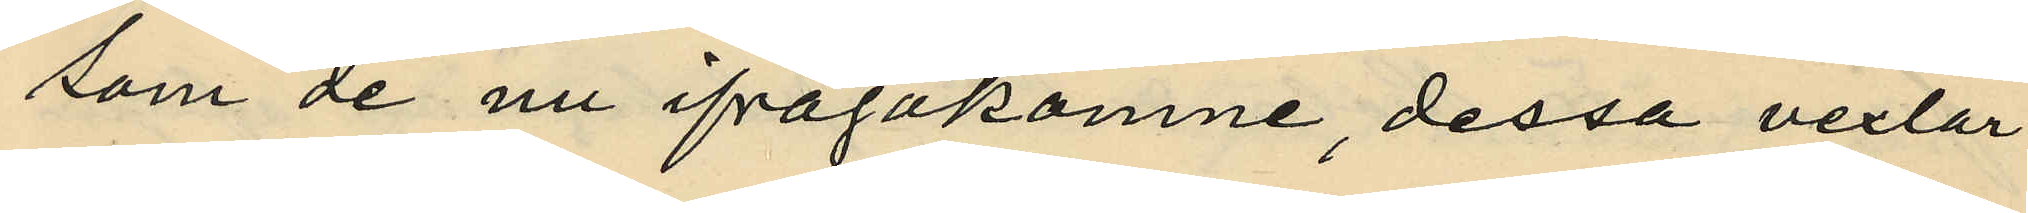som de nu ifrågakomne, dessa vexlar
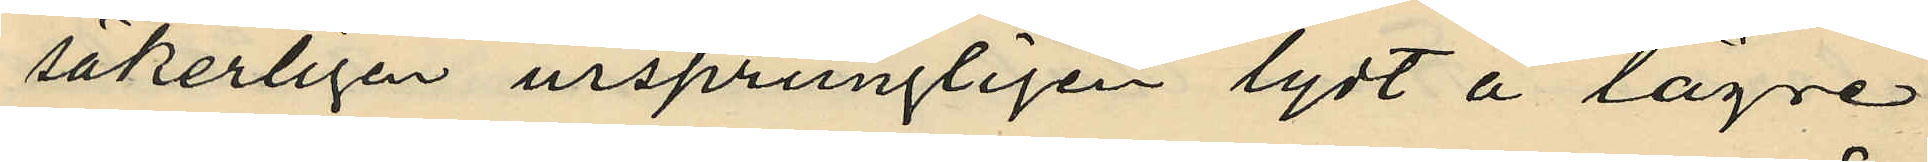säkerligen ursprungligen lydt å lägre
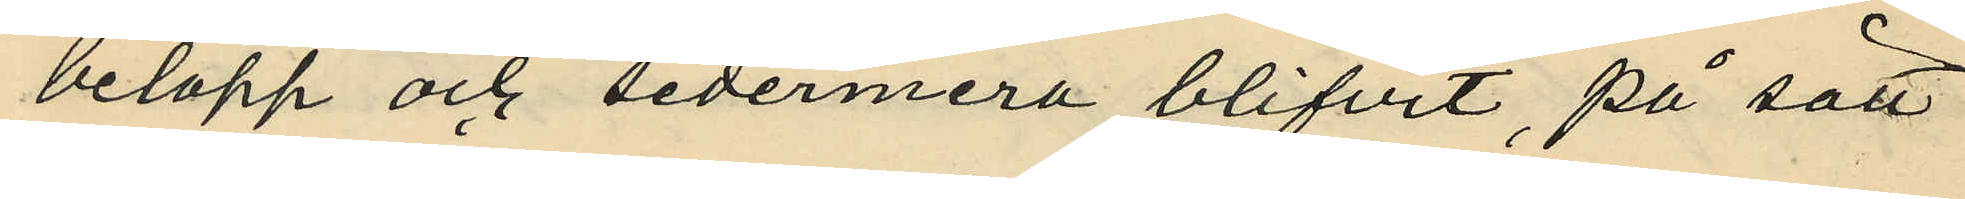belopp och sedermera blifvit, på sätt
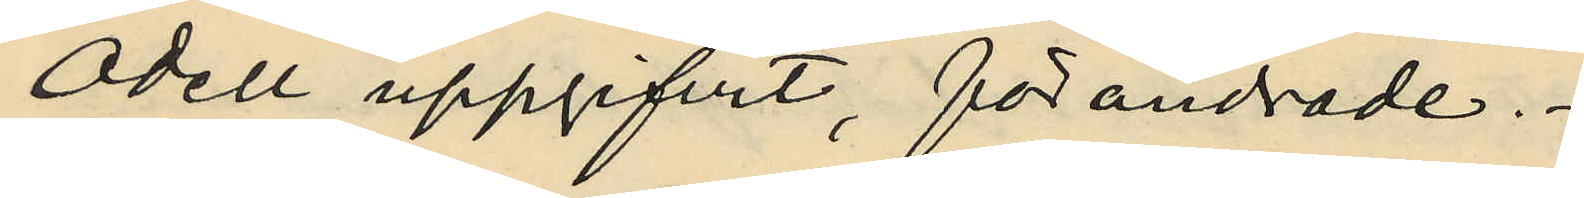Odell uppgifvit, förändrade.
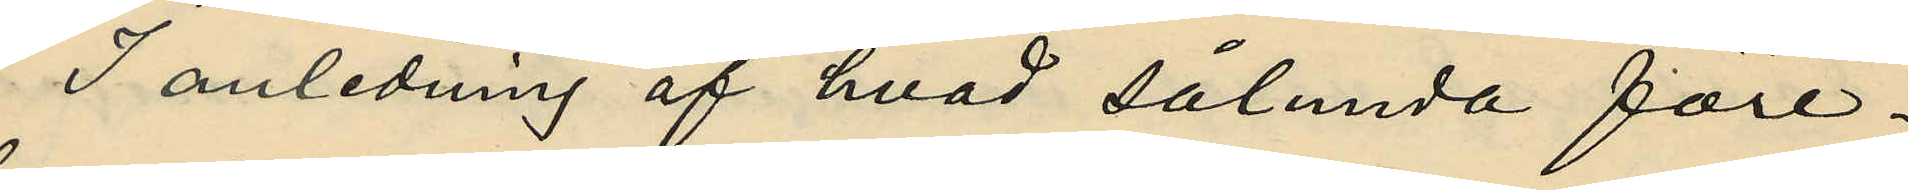I anledning af hvad sålunda före¬
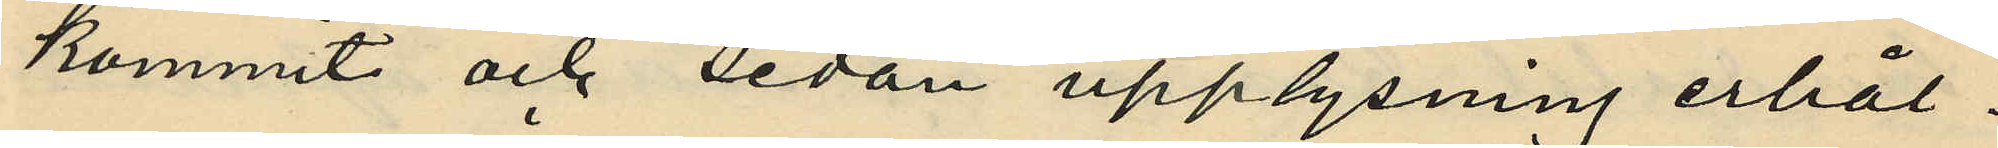kommit och sedan upplysning erhål¬
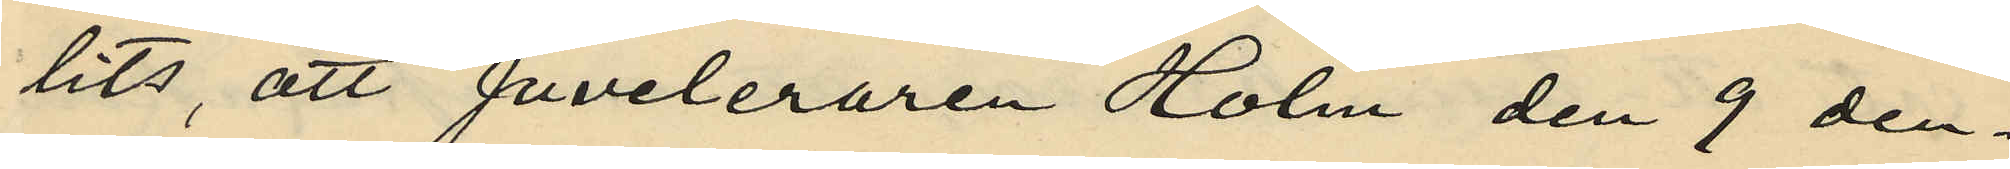lits, att juveleraren Holm den 9 den¬
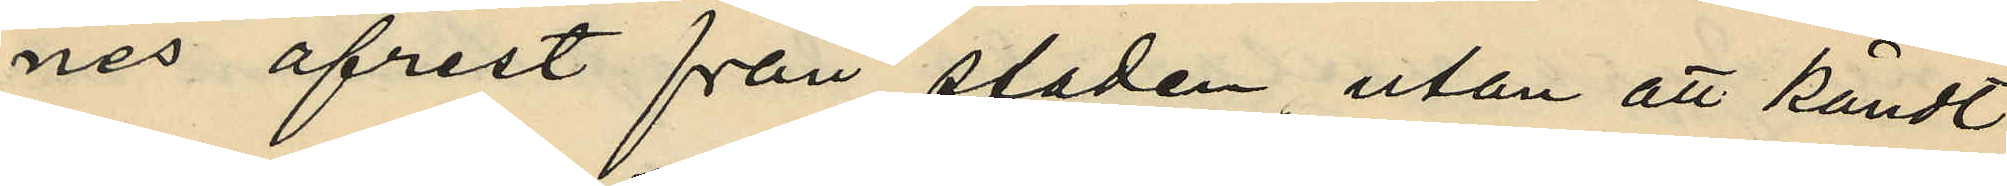nes afrest från staden, utan att kändt
